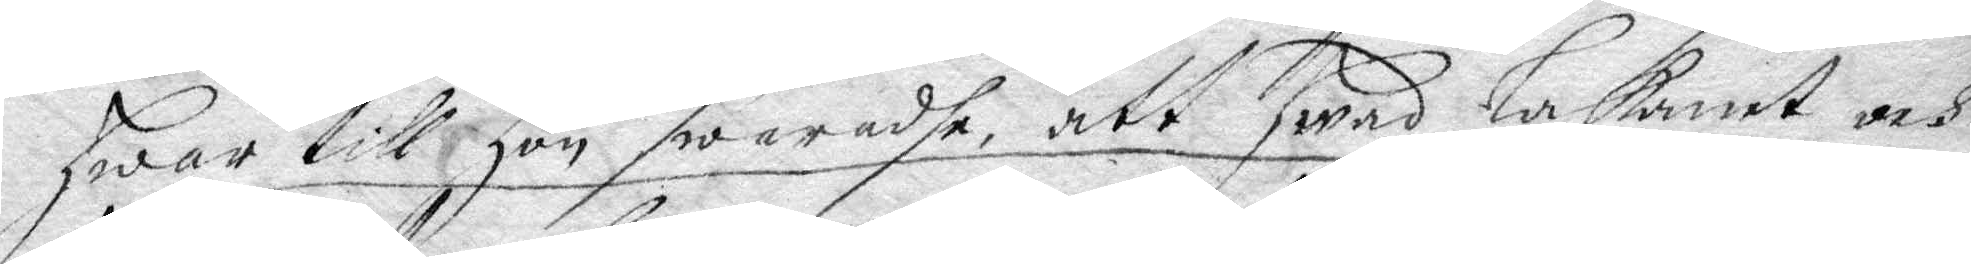hwar till hon swaradhe, att hwad Lakanet och
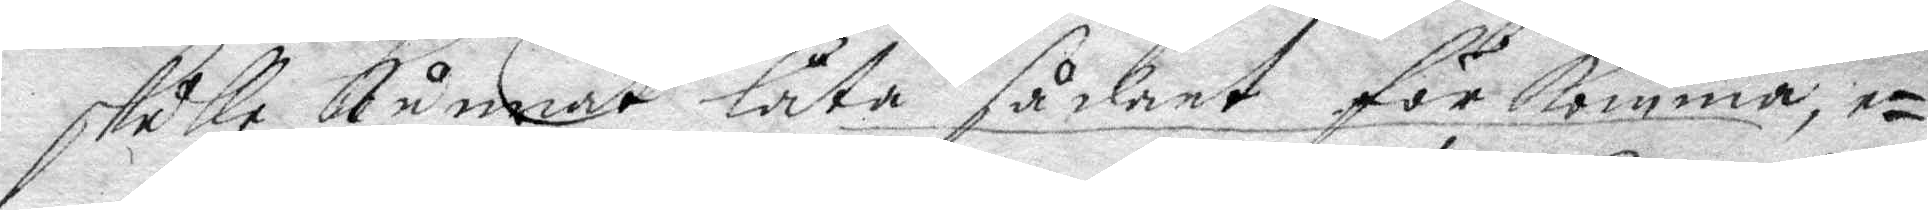skulle kunnat låta sådant för komma, e¬
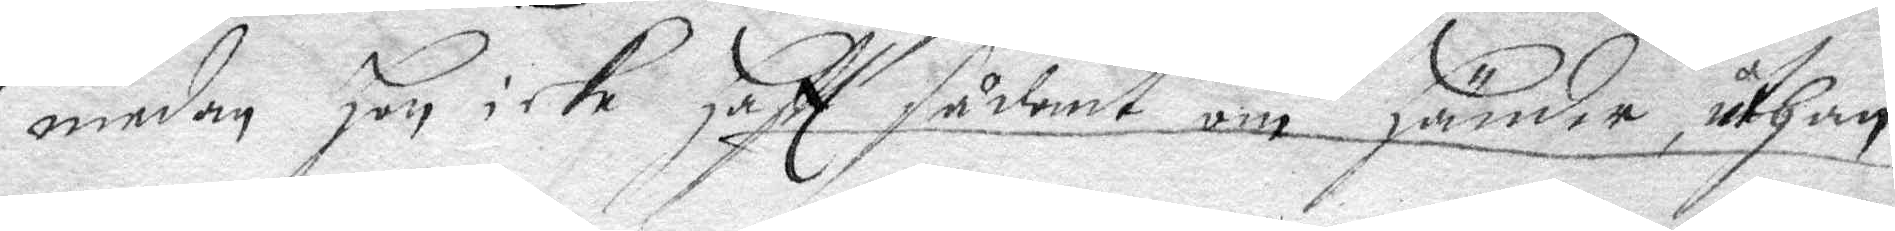medan Hon icke hafft sådant om händer, uthan
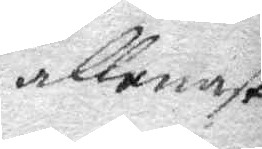allenast
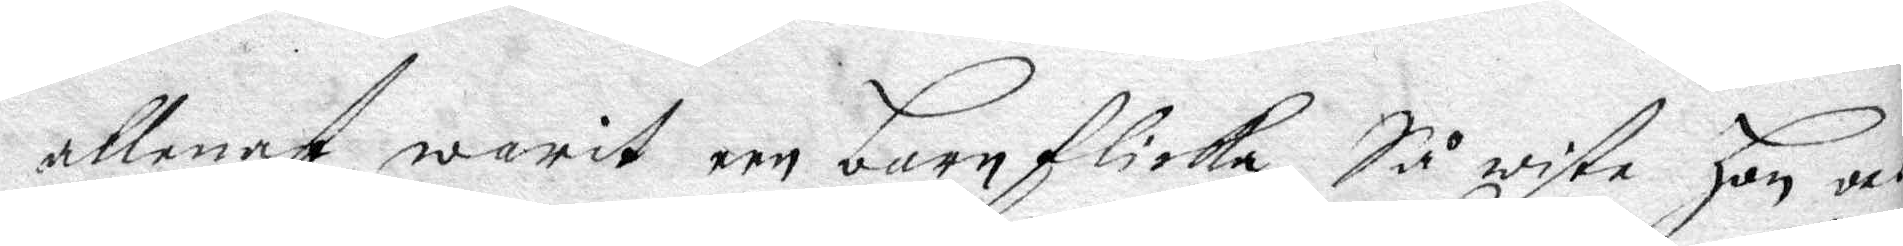allenast warit een barn flicka, Så wiste hon och
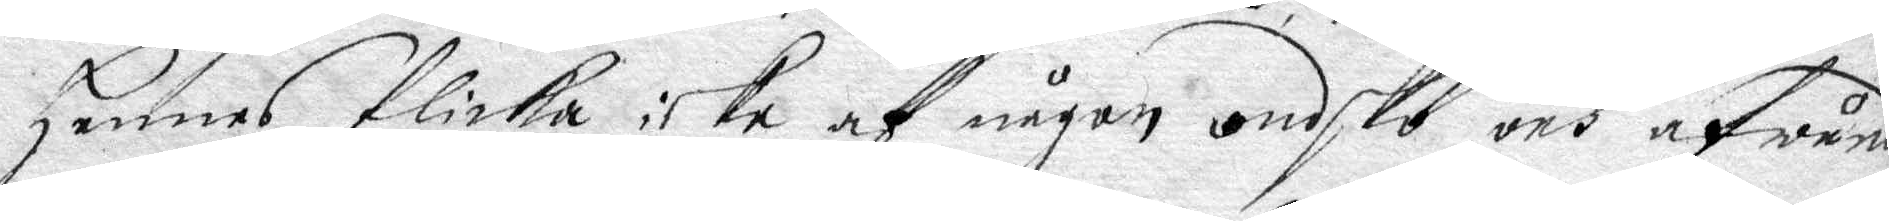hennes flicka icke af någon ondsko och afwund
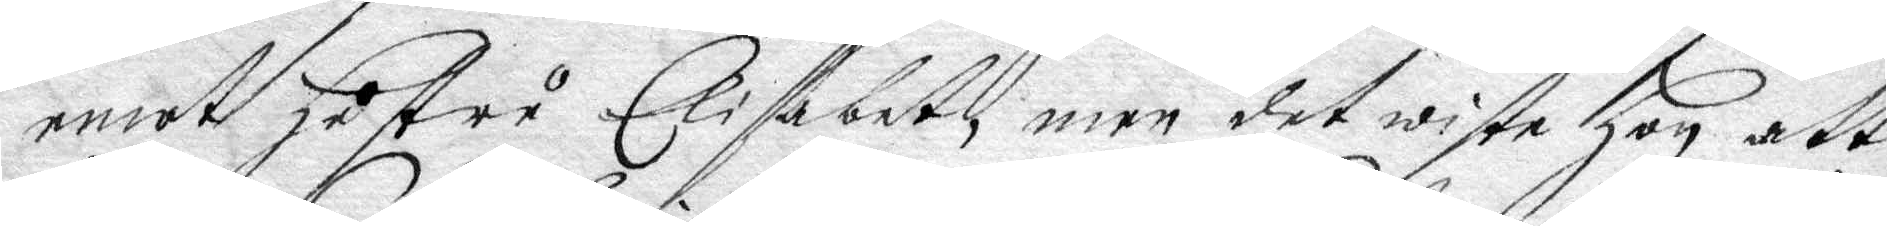emot hustru Elisabet, men det wiste hon att
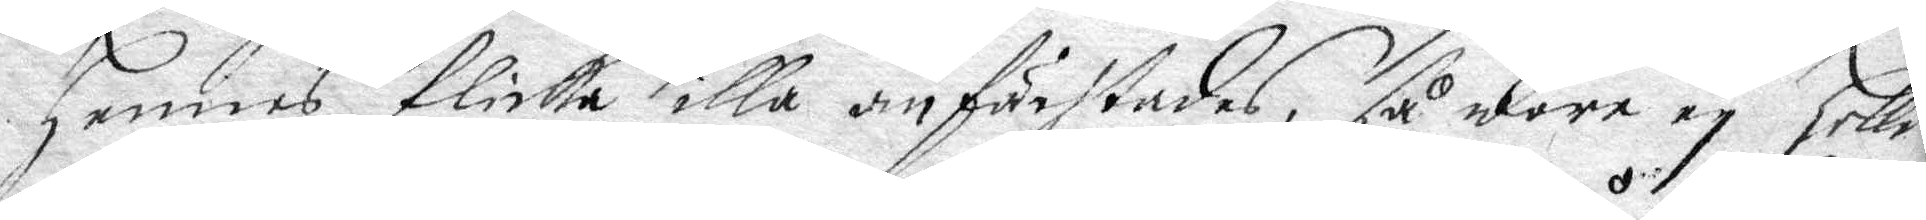hennes flicka illa anfächtades, så wore ey heller
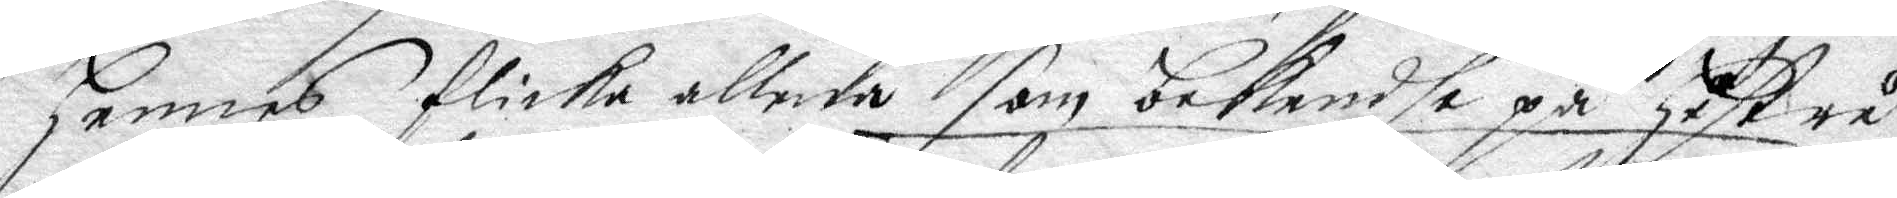hennes flicka allena som bekendhe på hustru
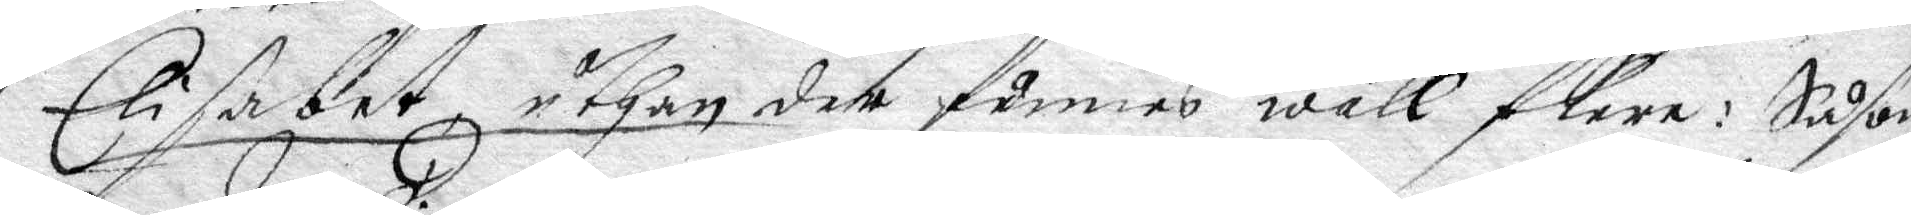Elisabet uthan der funnes wäll flera; Såsom
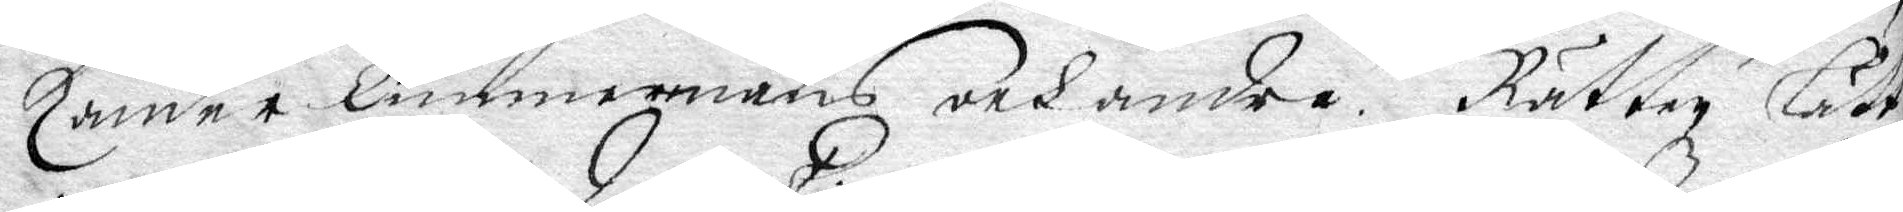Zander Timmermans och andra. Rätten lätt
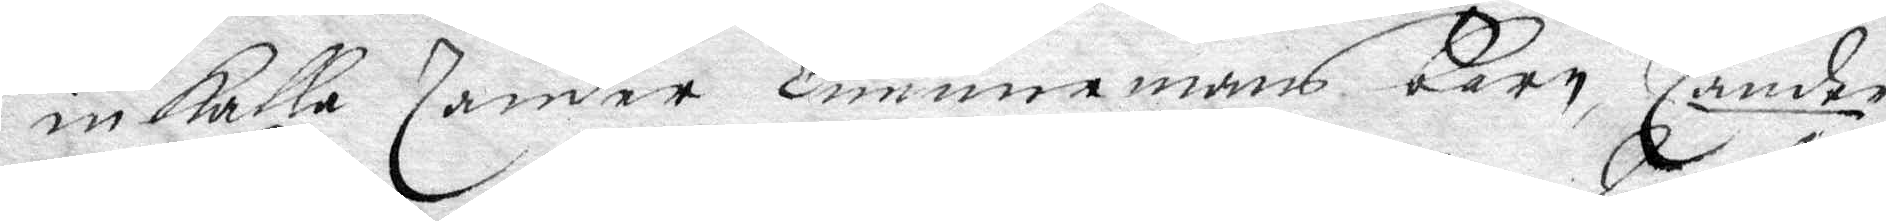inkalla Zander Timmermans barn Zander
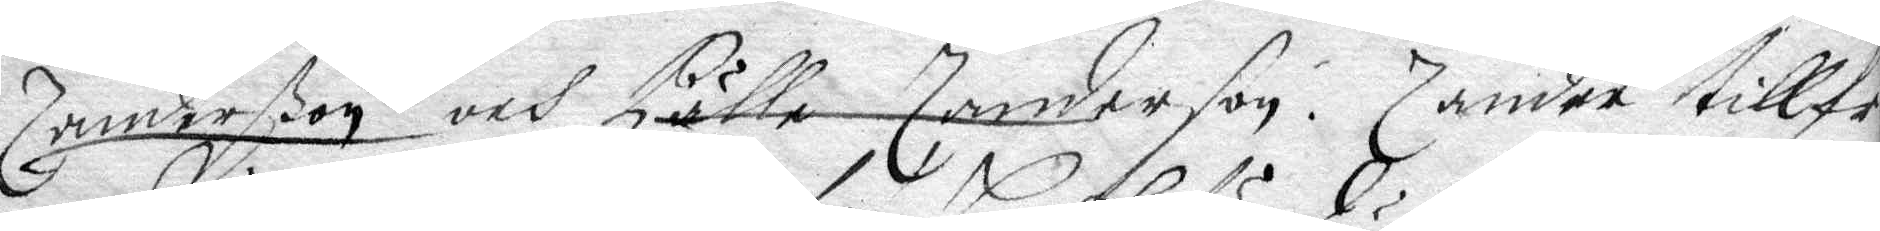Zanderßon och Pälle Zanderson: Zander tillfrå¬
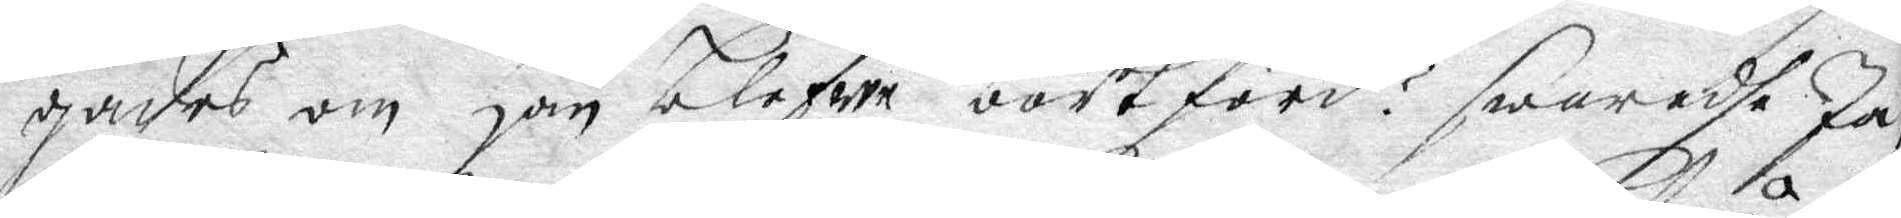gades om han blefwe bortförd? swaradhe Ja,
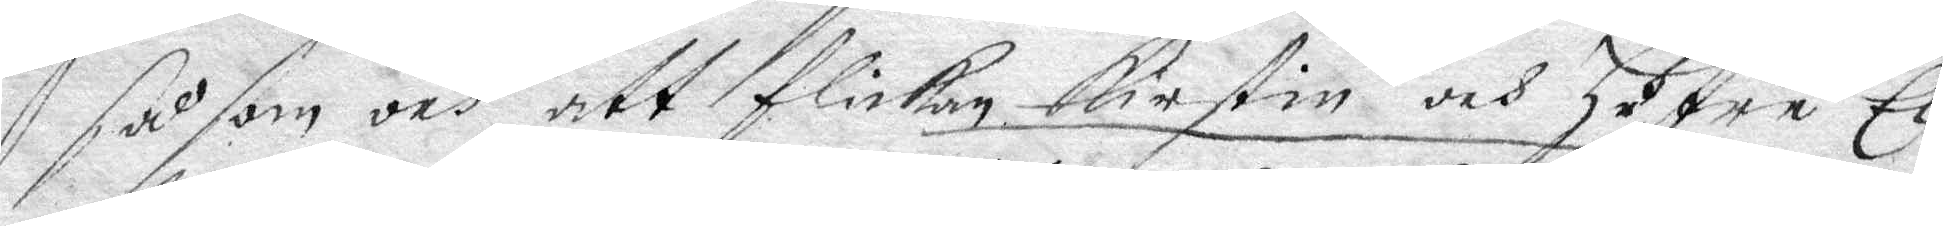såsom och att flickan Kirstin och hustru Eli¬
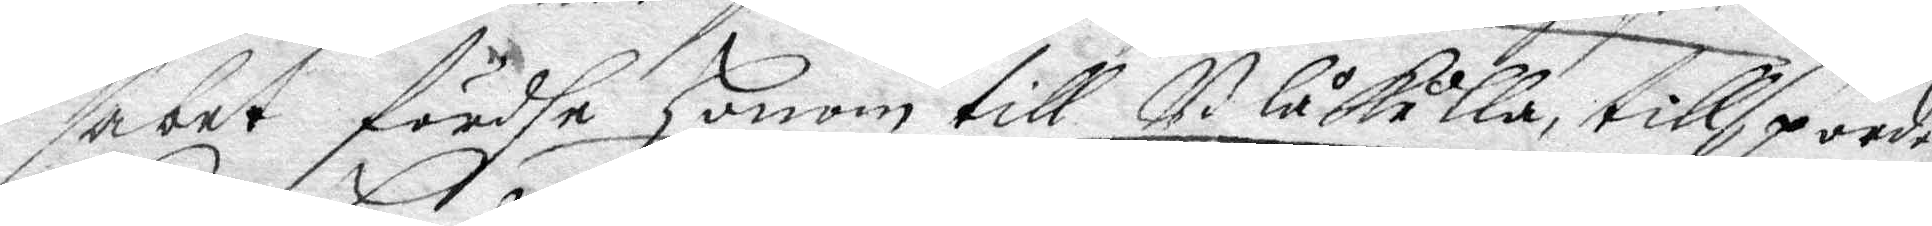sabet fördhe honom till Blåkulla, tillspordes
